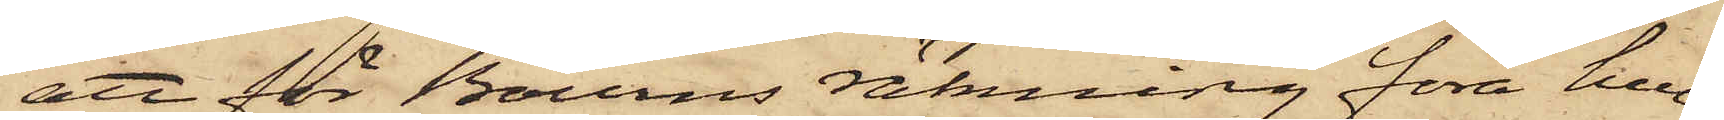att för Bourns räkning föra hve¬
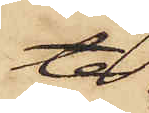te
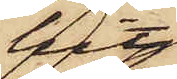hit
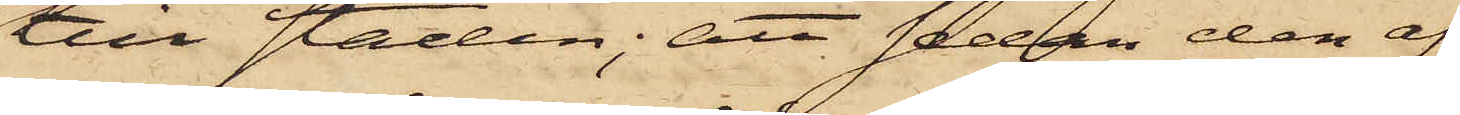till staden; att sedan den af
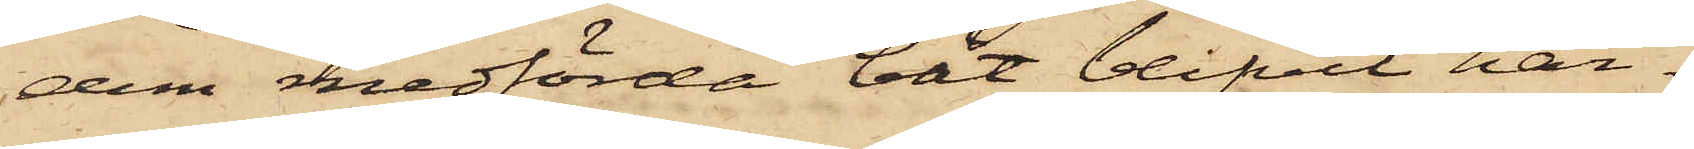dem medförda båt blifvit här¬
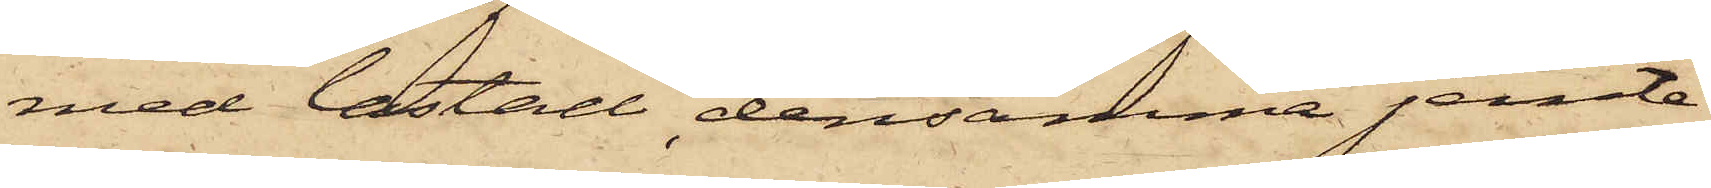med lastad, densamma jemte
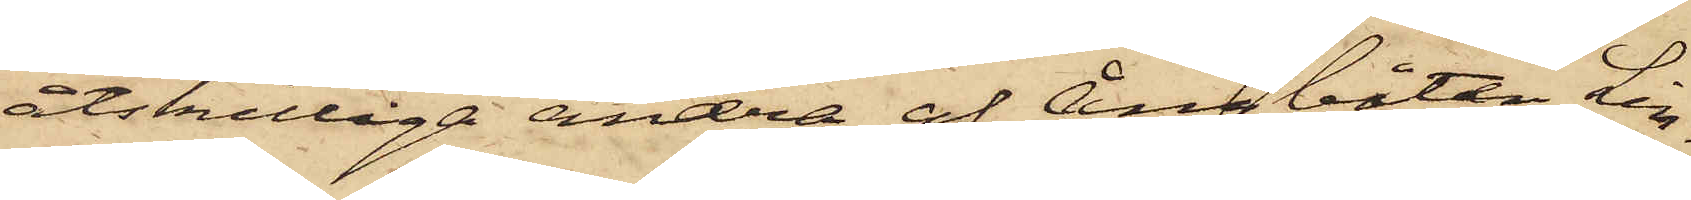åtskilliga andra af ångbåten Lin¬
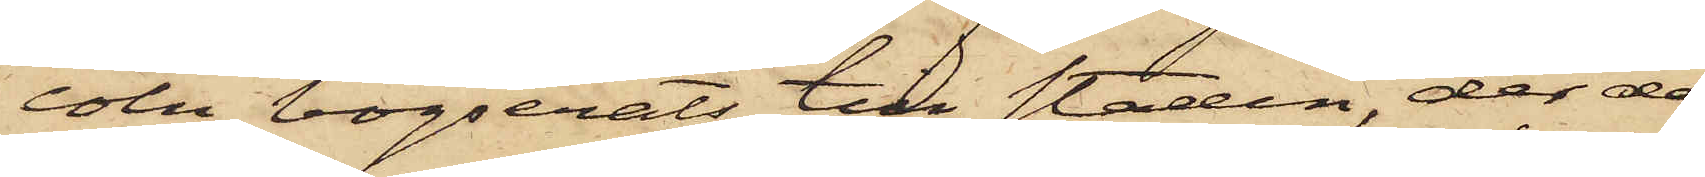coln bogserats till staden, der de,
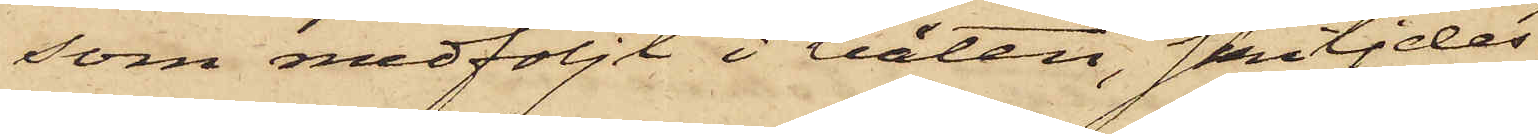som medföljt i båten, skiljdes
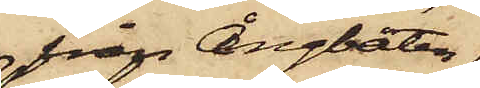från Ångbåten
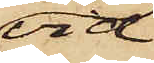vid
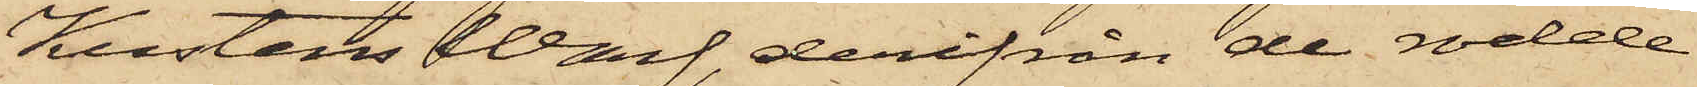Kustens Warf, derifrån de rodde
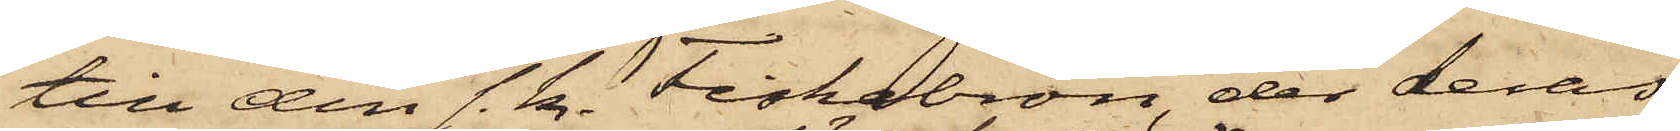till den s. k. Fiskebron, der deras
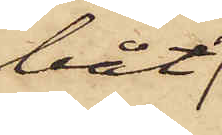båt
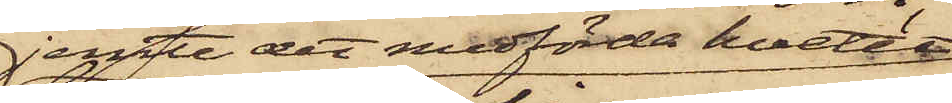jemte det medförda hvetet
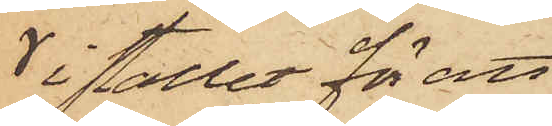 i stället för att
